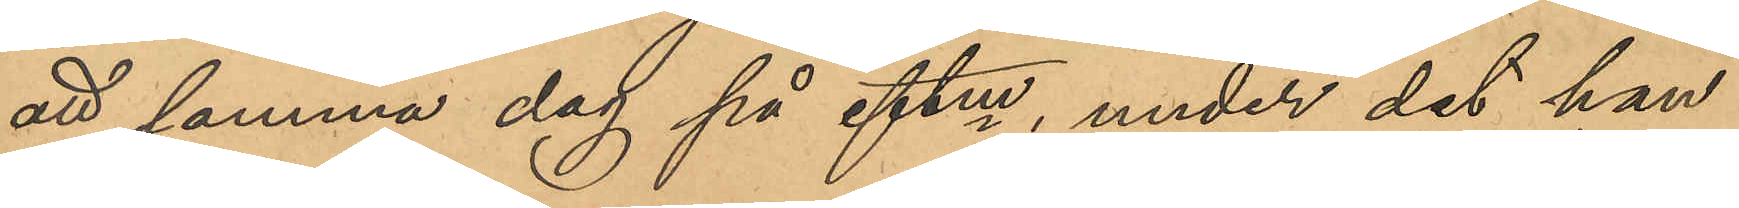att samma dag på eftm, under det hon
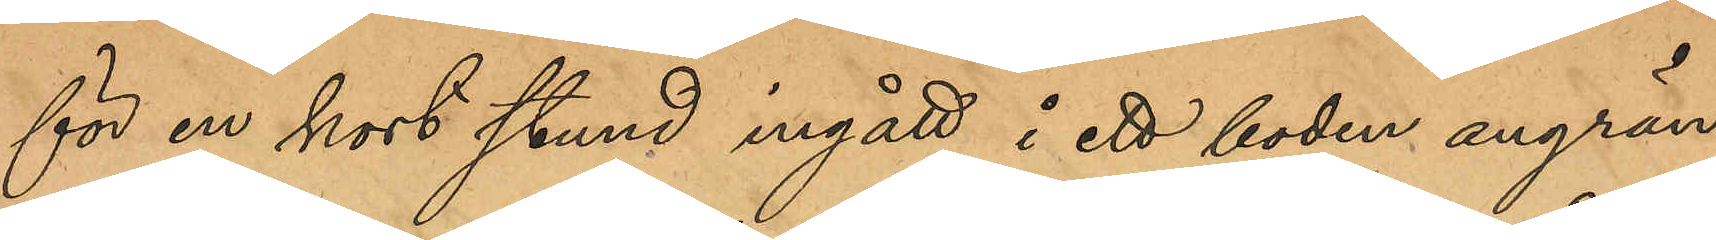för en kort stund ingått i ett boden angrän¬
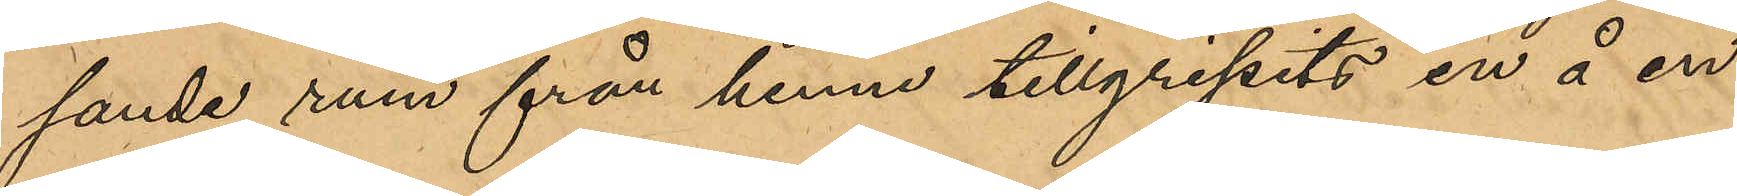sande rum från henne tillgripits en å en
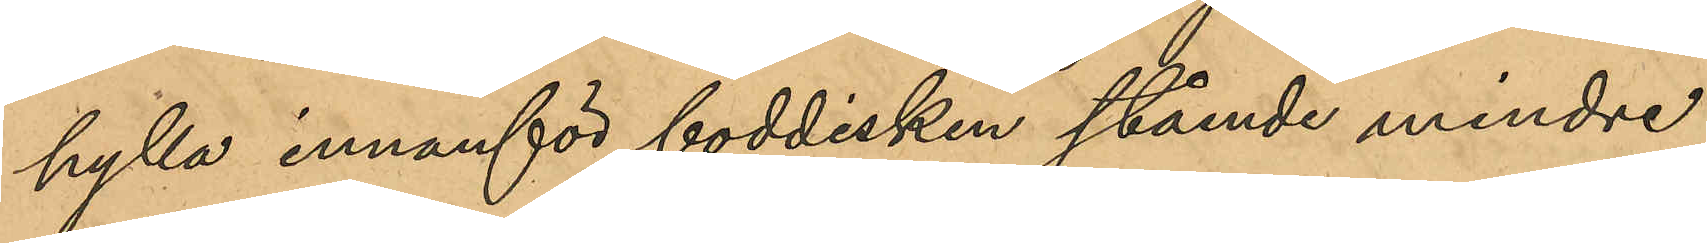hylla innanför boddisken stående mindre
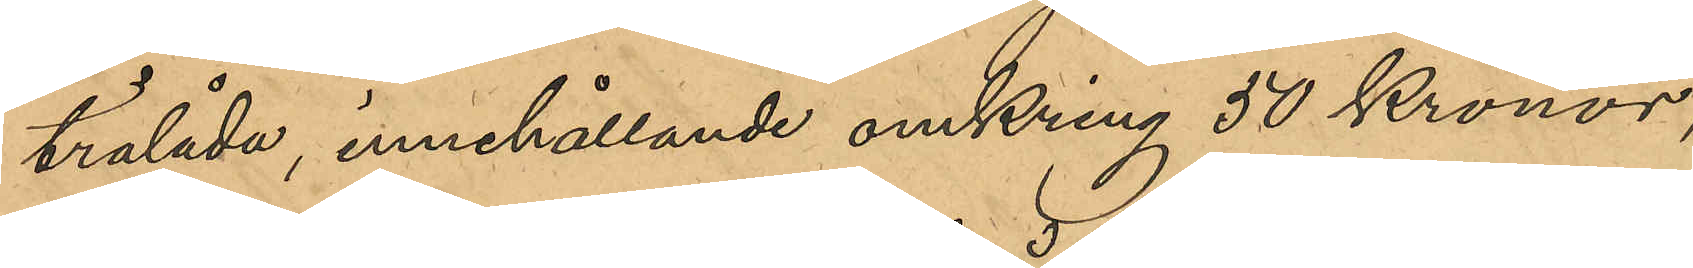trälåda innehållande omkring 50 Kronor,
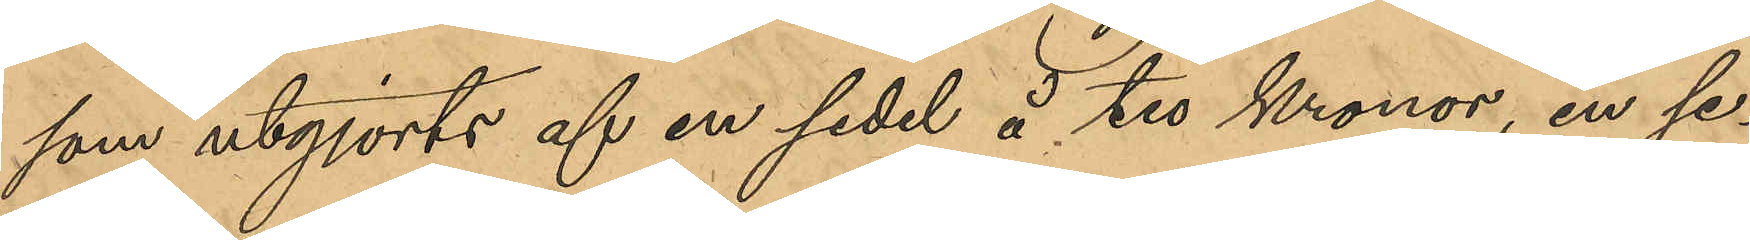som utgjorts af en sedel å tio Kronor, en se¬
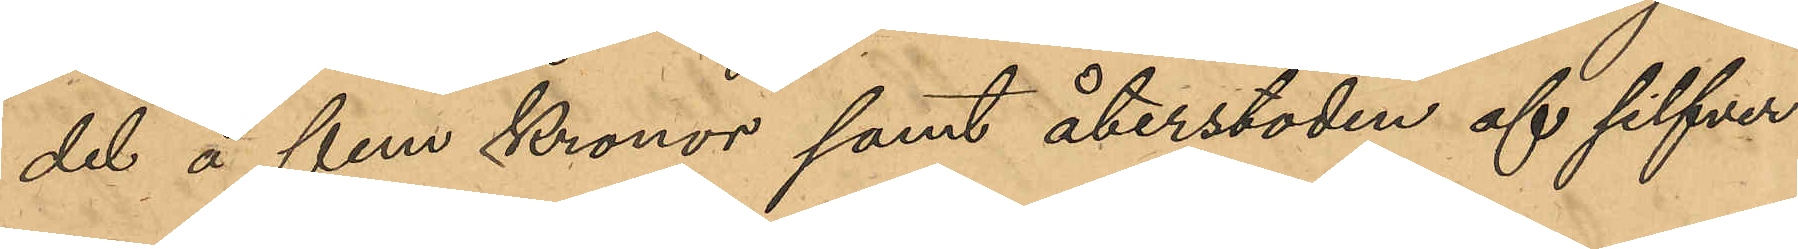del å fem Kronor samt återstoden af silfver
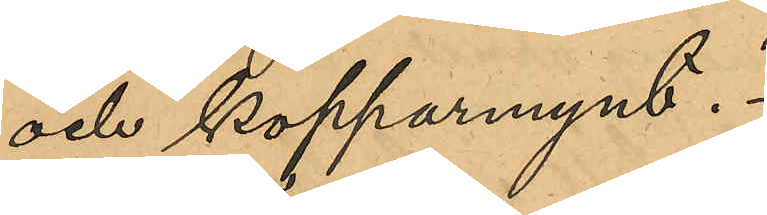och kopparmynt.
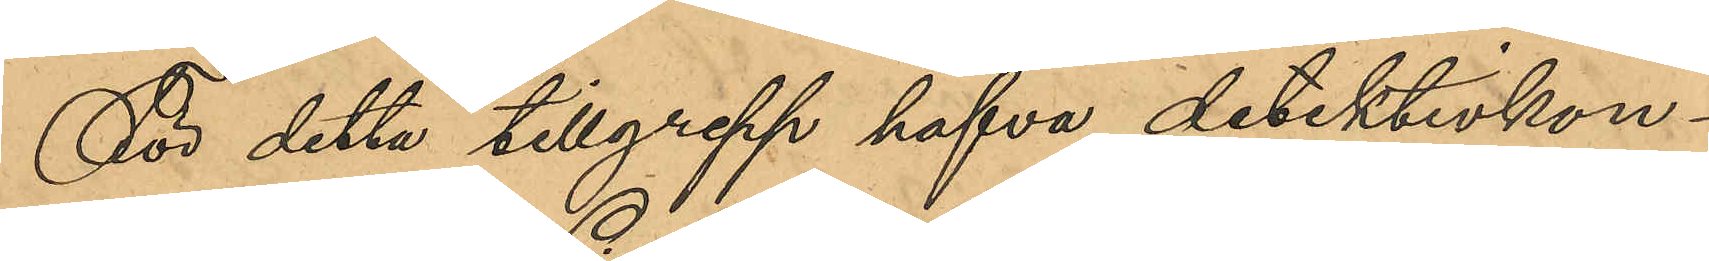För detta tillgrepp hafva detektivkon¬
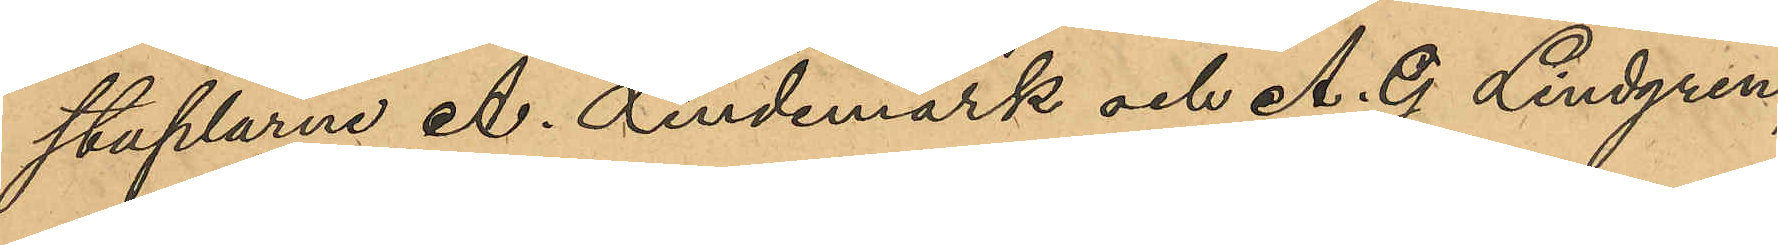staplarne A. Lindemark och A. G. Lindgren,
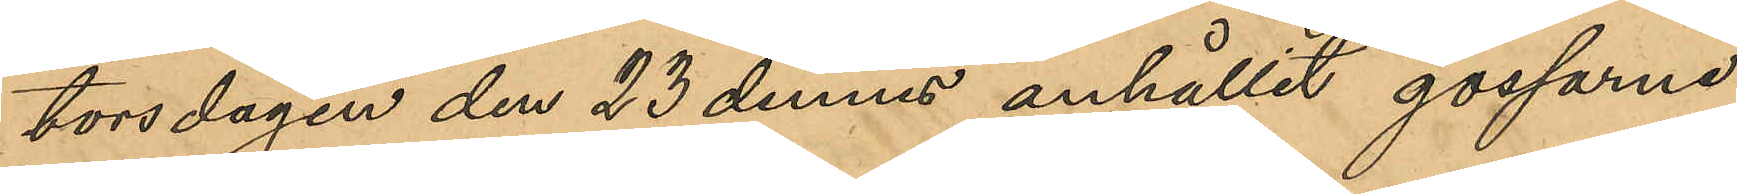torsdagen den 23 dennes anhållit gossarna
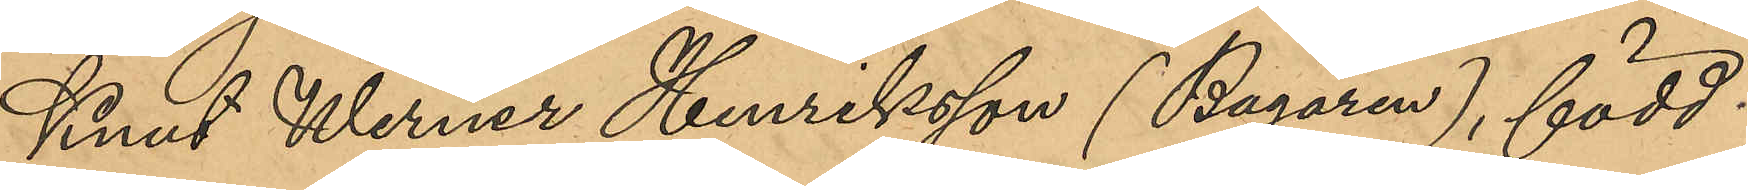Knut Werner Henriksson (Bagaren), född
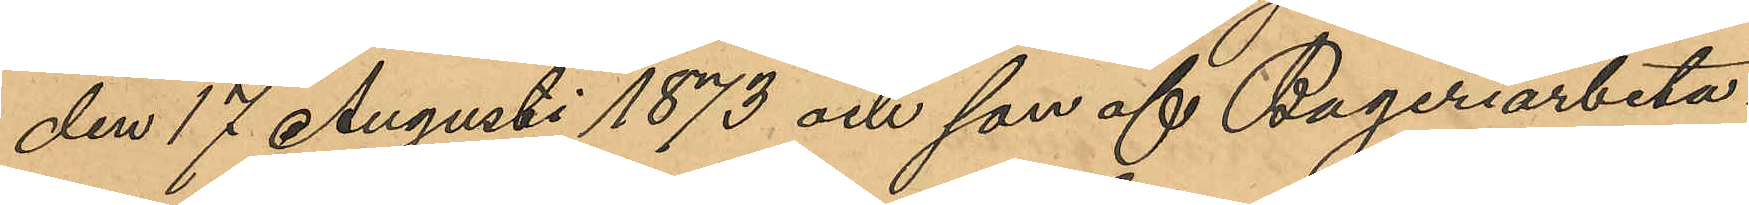den 17 Augusti 1873 och son af Bageriarbeta¬
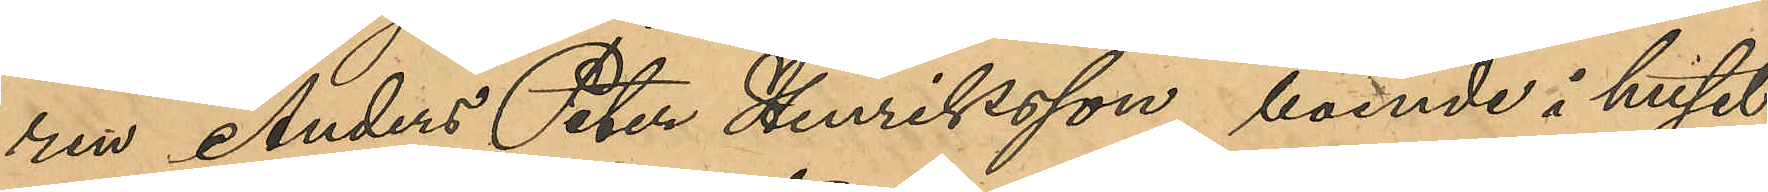ren Anders Peter Henriksson, boende i huset
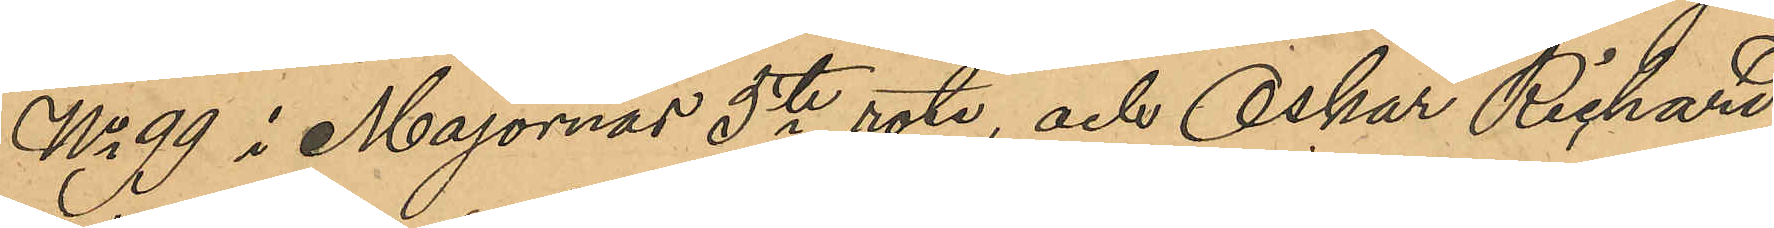No 99 i Majornas 5te rote, och Oskar Rickard
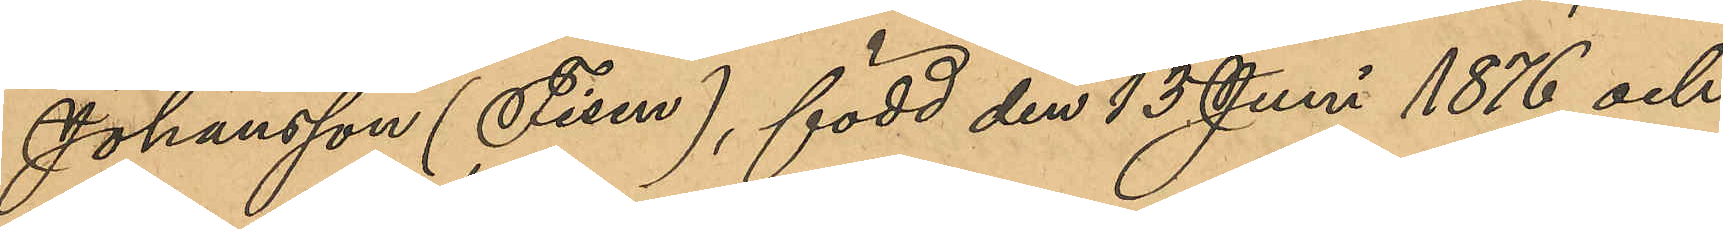Johansson (Fisen), född den 13 Juni 1876 och 
